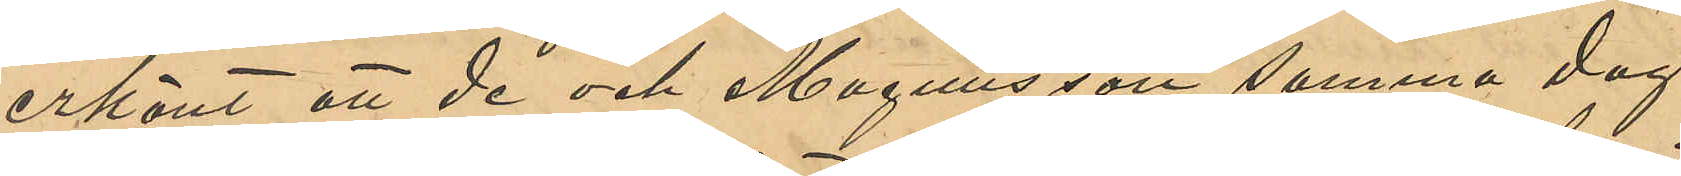erkänt att de och Magnusson samma dag
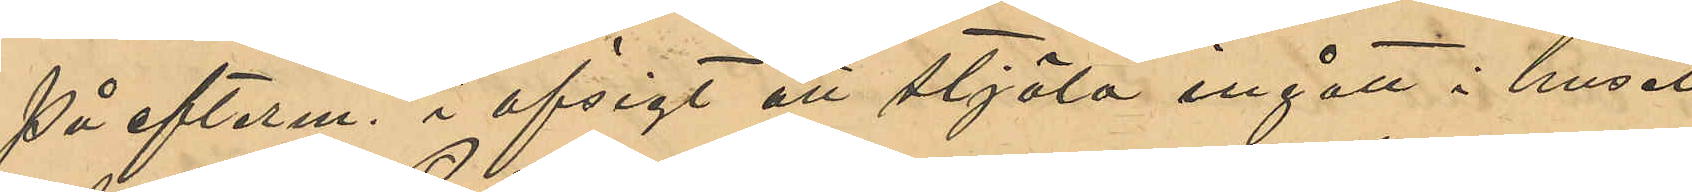på efterm. i afsigt att stjäla ingått i huset
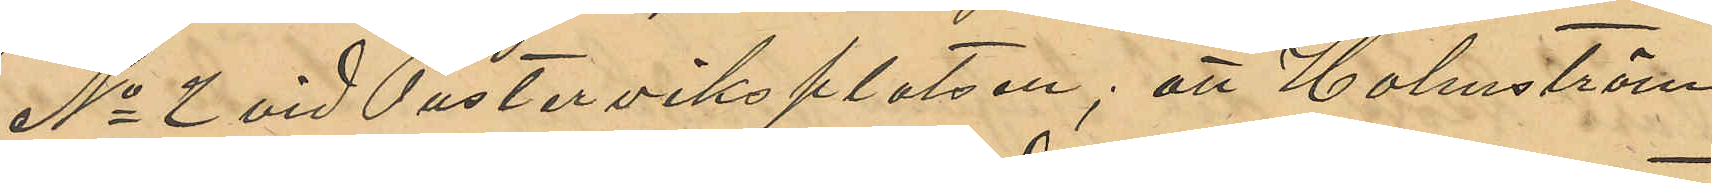No 2 vid Pusterviksplatsen; att Holmström
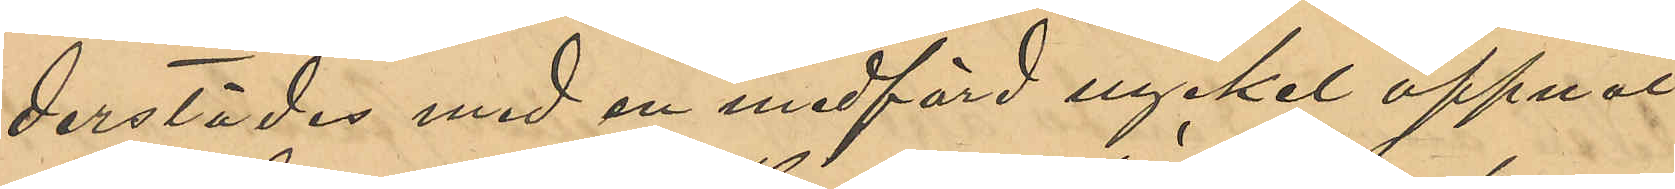derstädes med en medförd nyckel öppnat
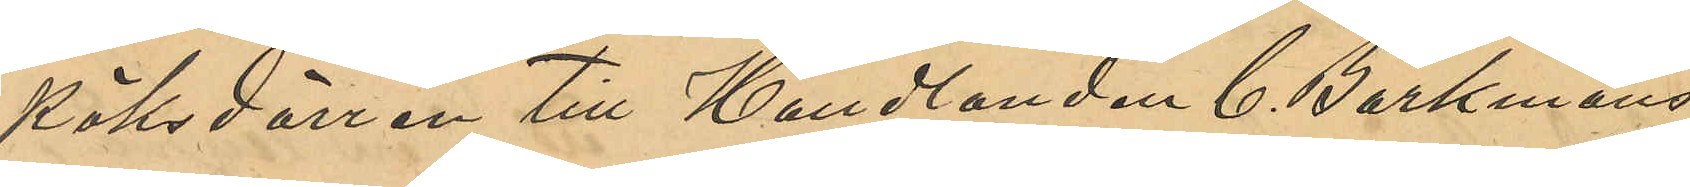köksdörren till Handlanden C. Barkmans
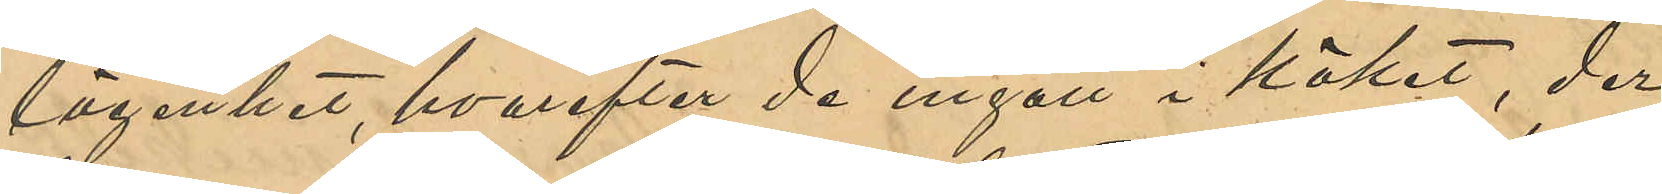lägenhet, hvarefter de ingått i köket, der
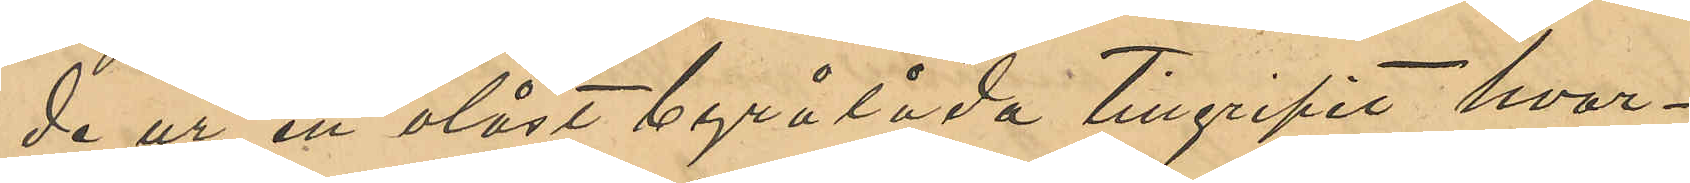de ur en olåst byrå tillgripit hvar¬
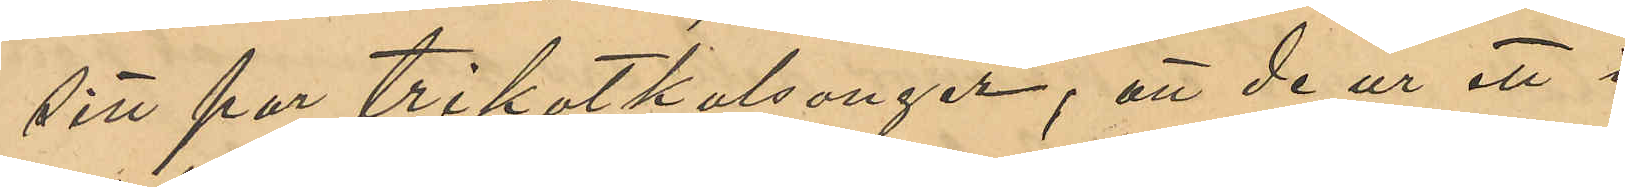sitt par trikotkalsonger; att de ur ett i
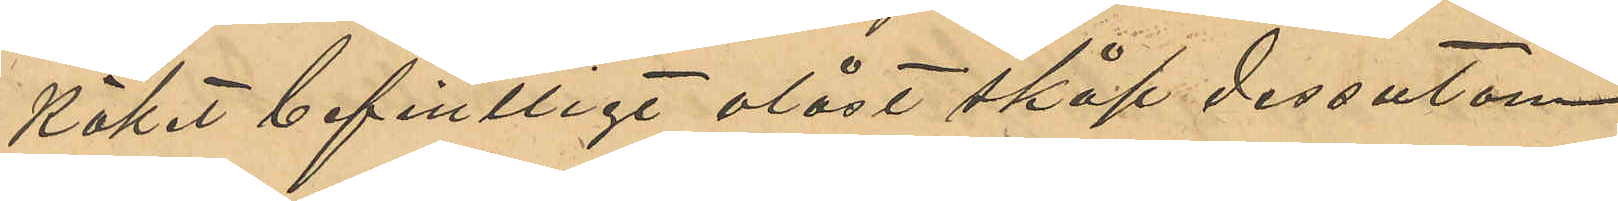köket befintligt olåst skåp dessutom
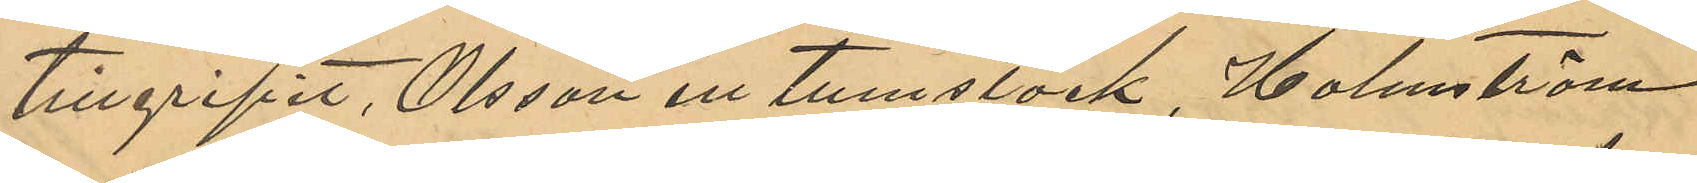tillgripit, Olsson en tumstock, Holmström
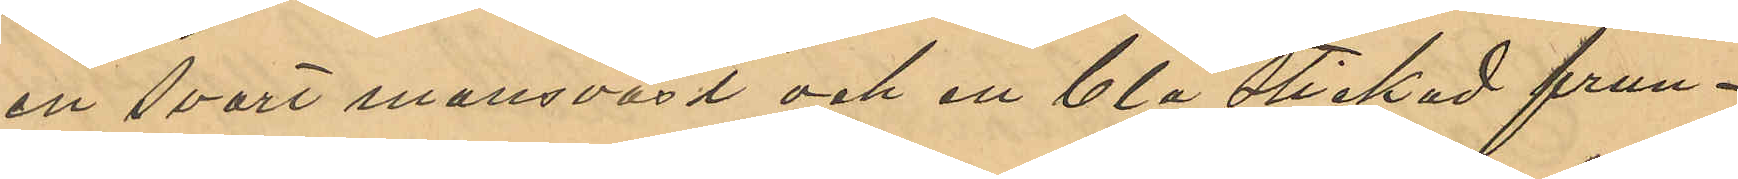en svart mansväst och en blå stickad frun¬
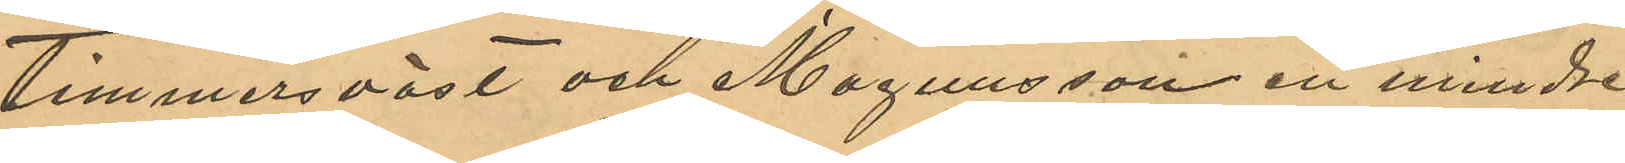timmersväst och Magnusson en mindre
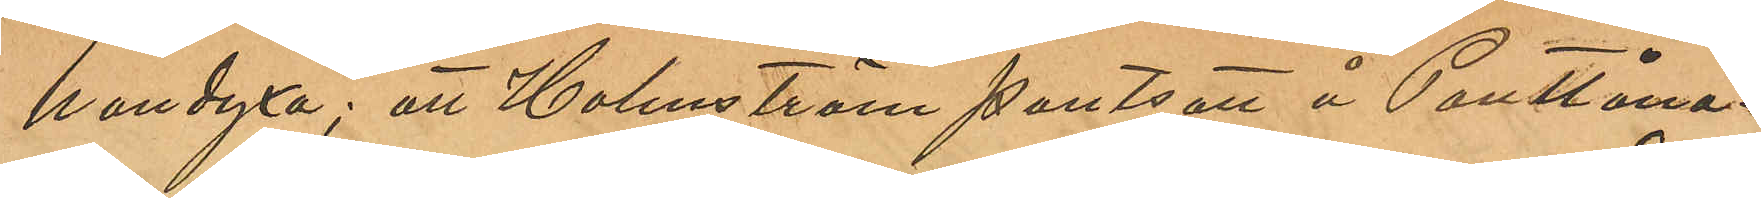handyxa; att Holmström pantsatt å Pantlåna¬
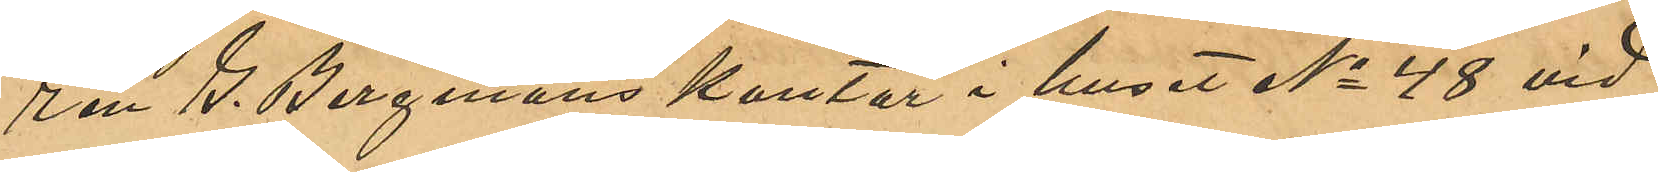ren G. Bergmans kontor i huset No 48 vid
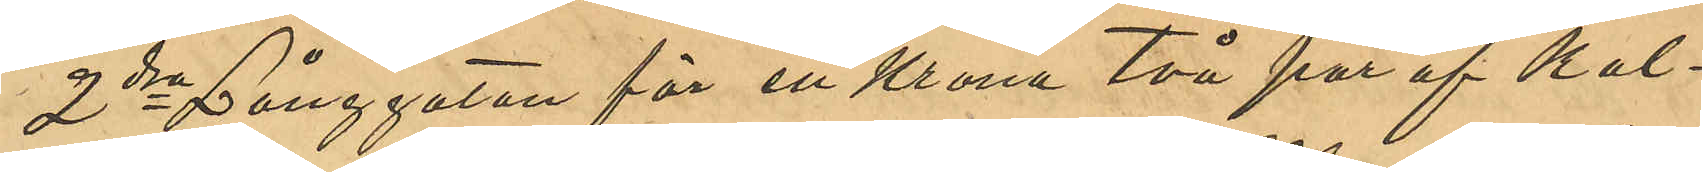2dra Långgatan för en Krona, Två par af kal¬
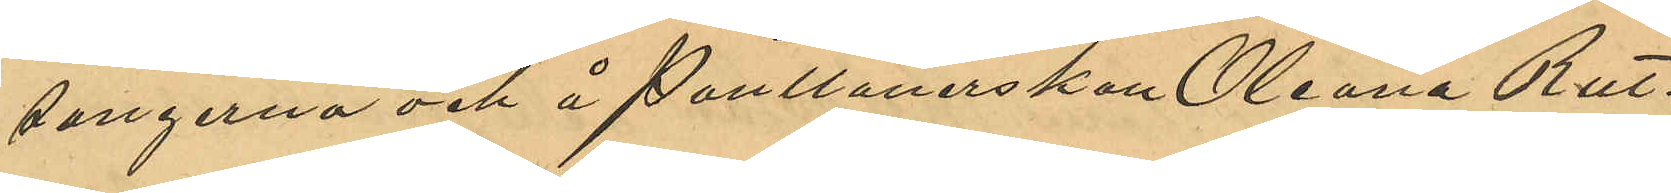songerna å Pantlånerskan Oleana Rut¬
